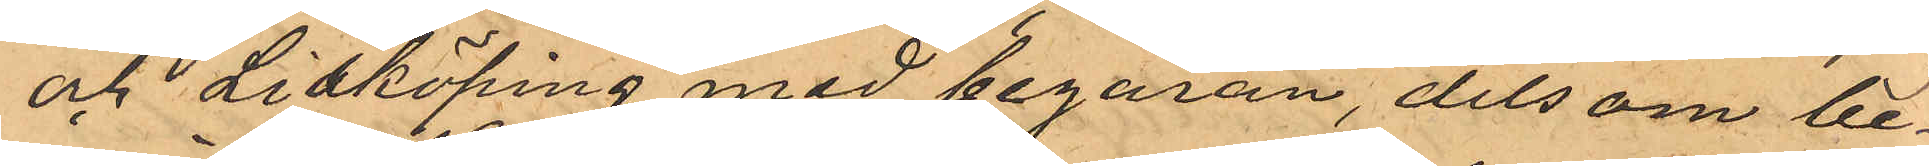och Lidköping med begäran, dels om be¬
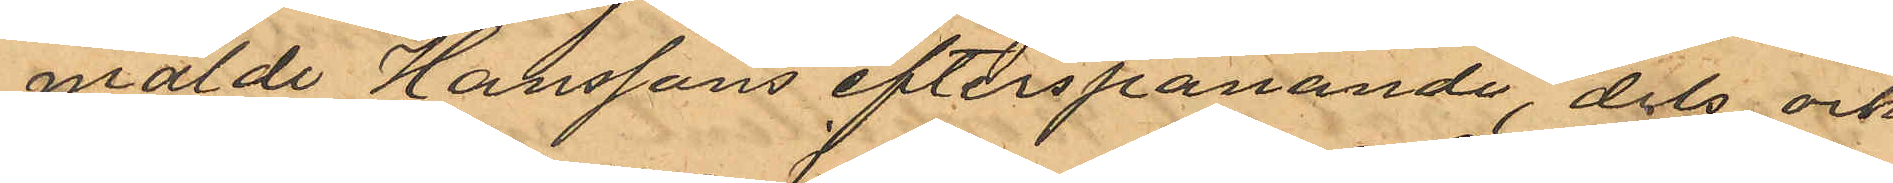mälde Hanssons efterspanande, dels ock
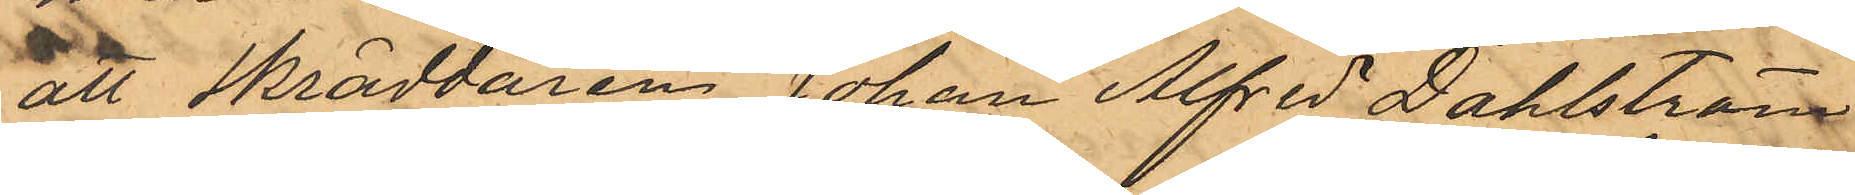att Skräddaren Johan Alfred Dahlström
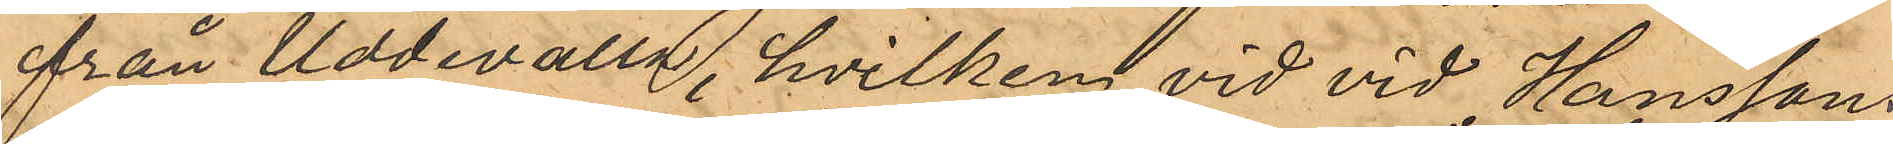från Uddevalla, hvilken vid vid Hanssons
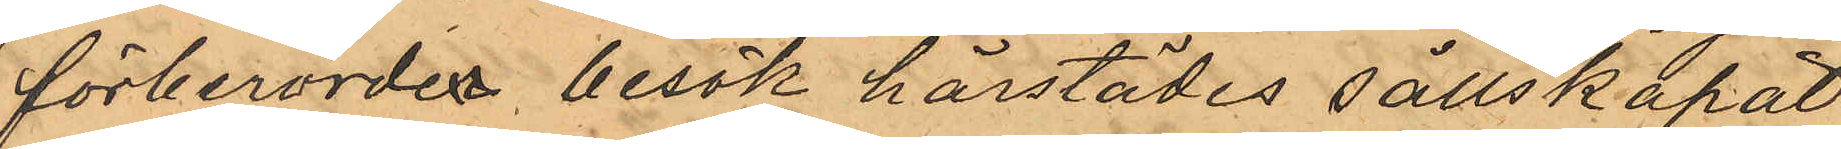förberördes besök härstädes sällskapat
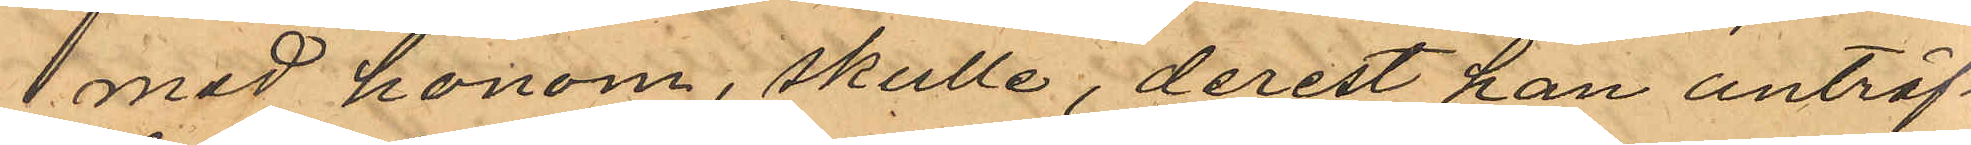med honom, skulle, derest han anträf¬
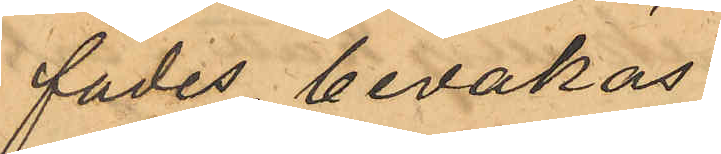fades, bevakas.
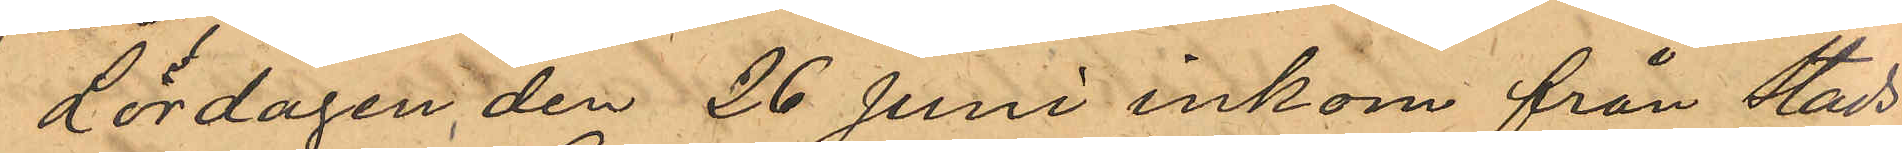Lördagen den 26 Juni inkom från Stads¬
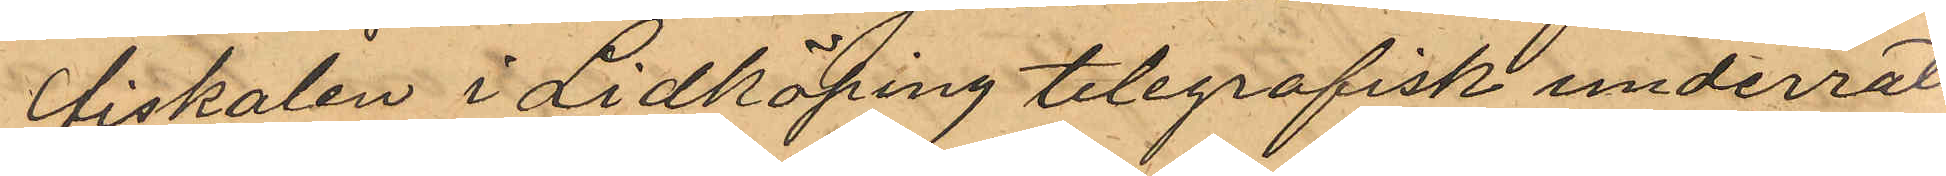fiskalen i Lidköping telegrafisk underrät¬
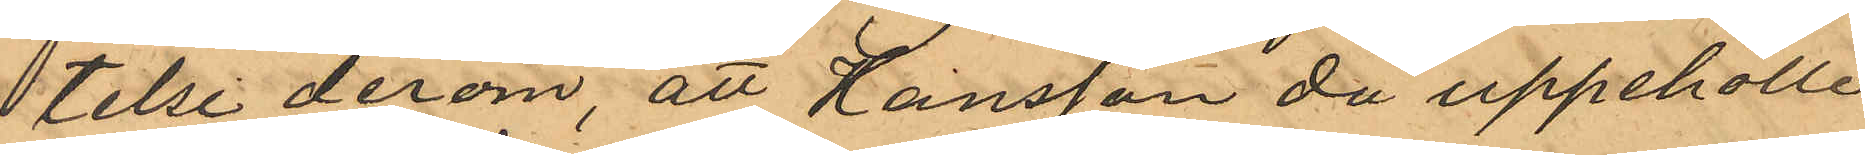telse derom, att Hansson då uppehölle
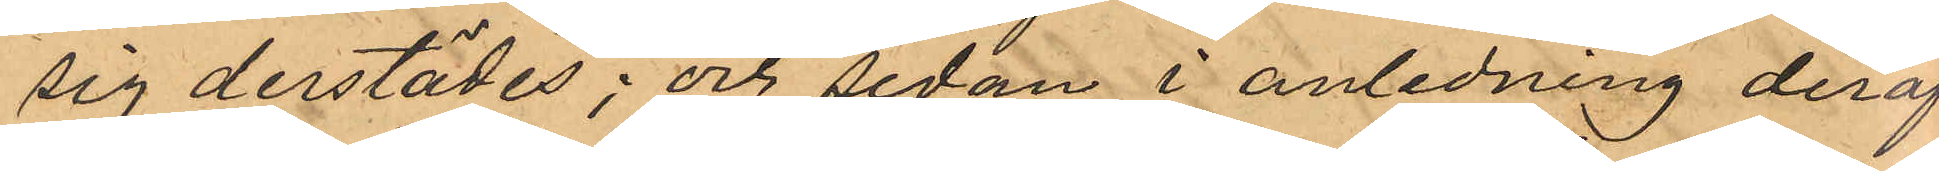sig derstädes; och sedan i anledning deraf
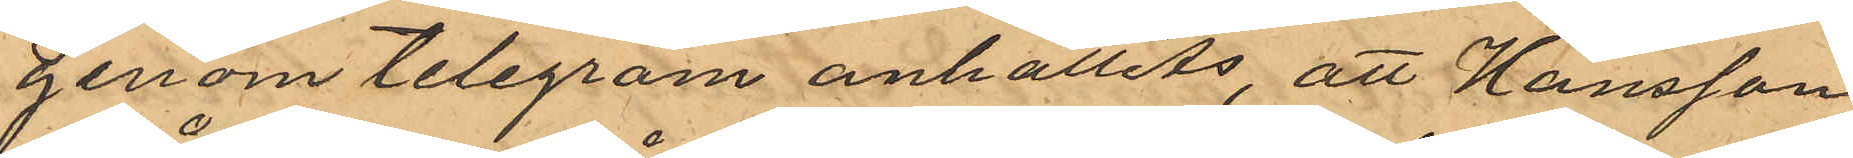genom telegram anhållits, att Hansson
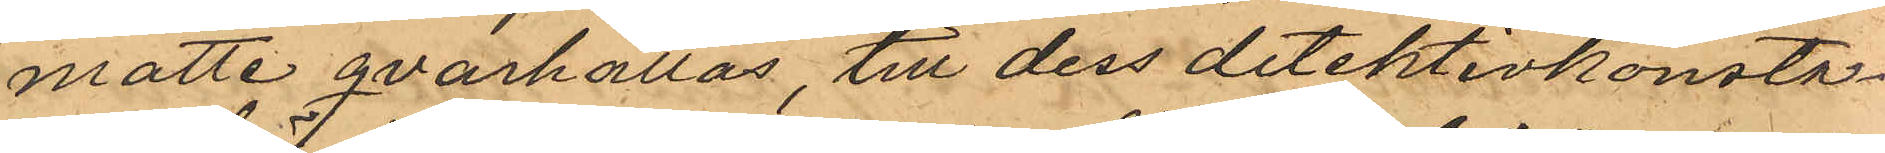måtte qvarhållas, till dess detektivkonsta¬
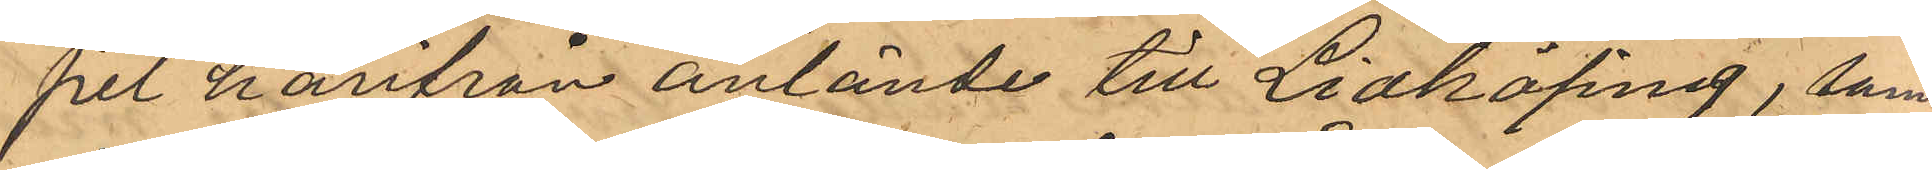pel härifrån anlände till Lidköping, samt
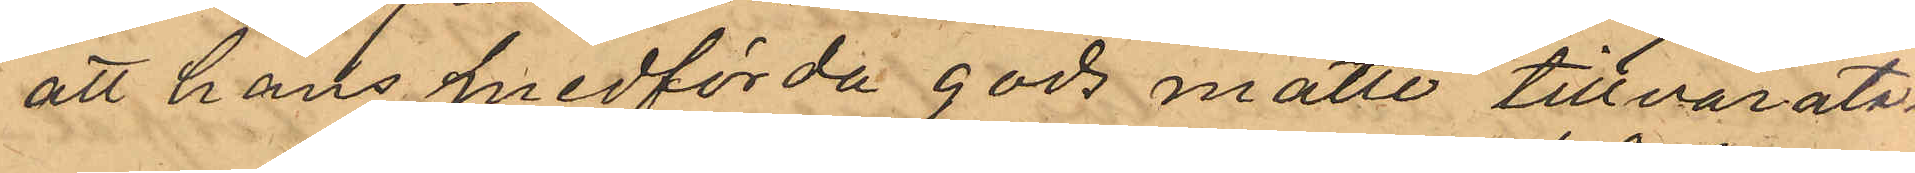att hans medförda gods måtte tillvarat¬
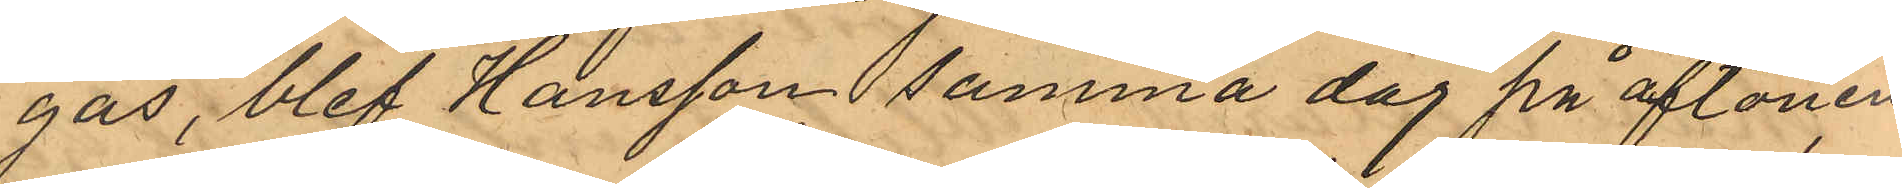gas, blef Hansson samma dag på aftonen
